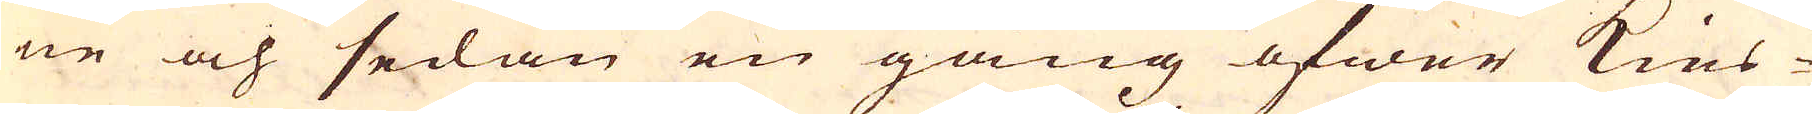ne och sedan en gång öfwer Kies-
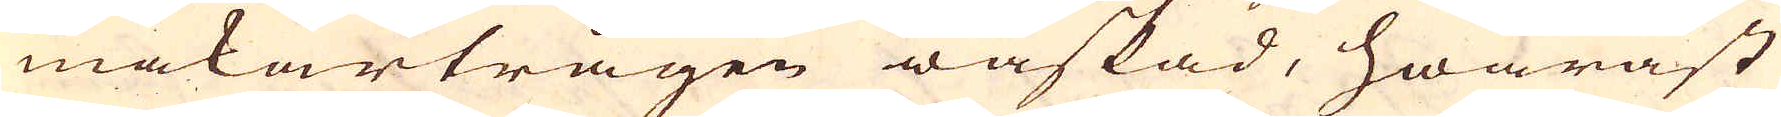makartrågen waskad, hwaräst
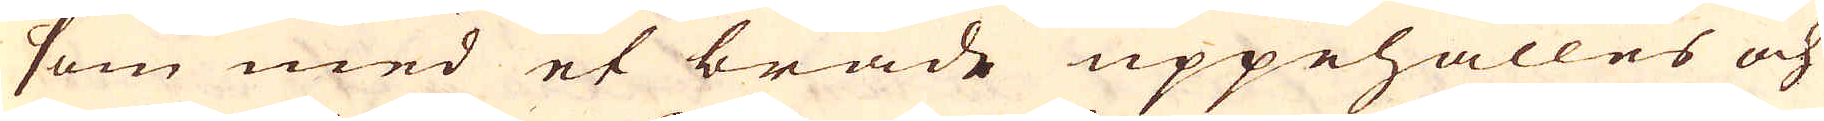som med et bräde uppehålles och
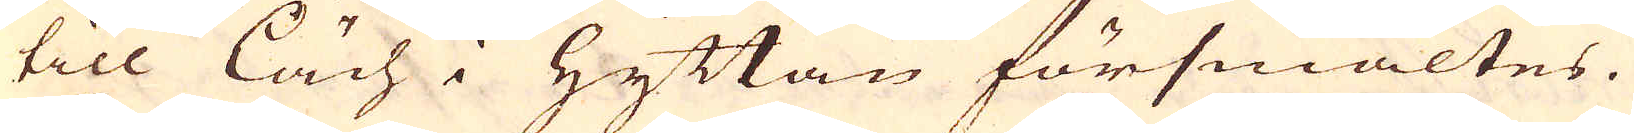till Läch i Hyttan försmältes.
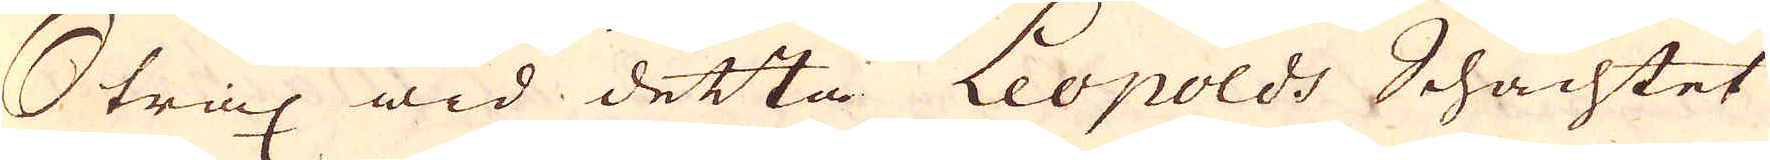Strax wid detta Leopolds Schachtet
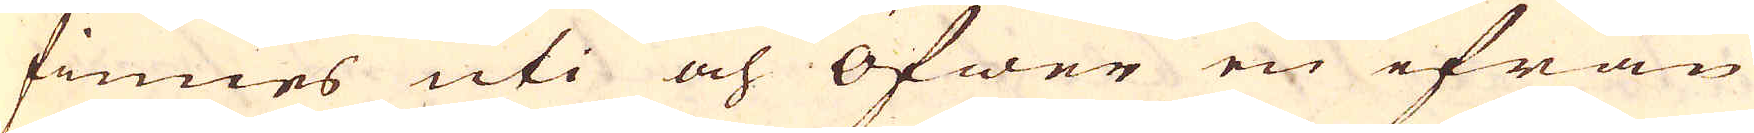finnes uti och öfwer en ifrån
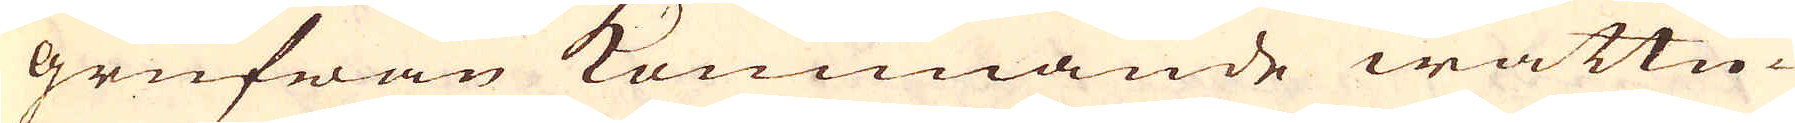grufwan kommande wattu-
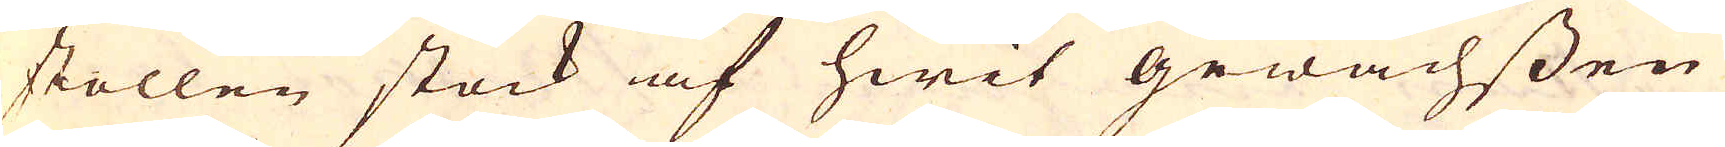stollen stock af hwit gewachssen
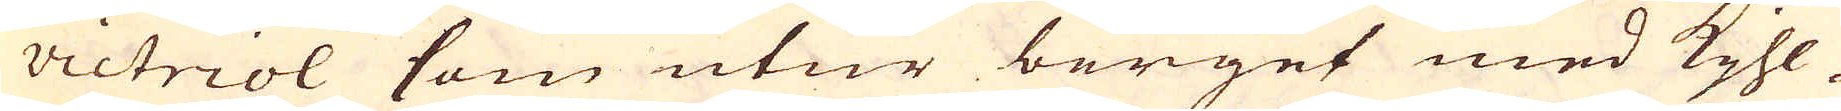victriol som utur berget med Kjhl-
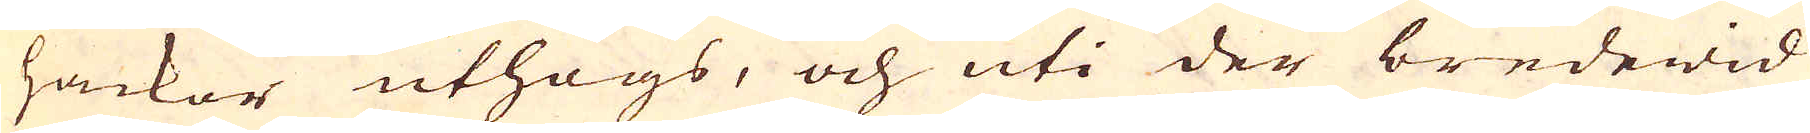hackor uthögs, och uti der bredewid
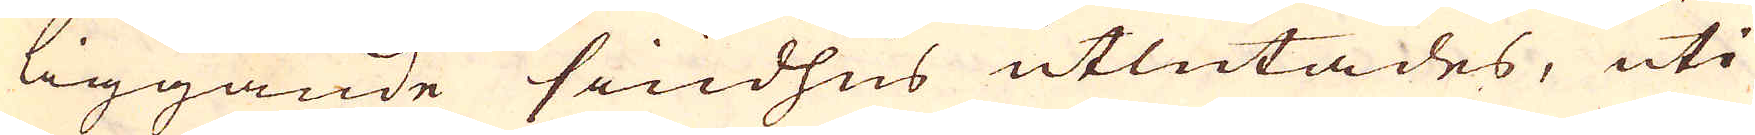liggande siudhus utlutades, uti
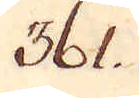361.
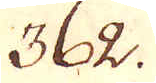362.
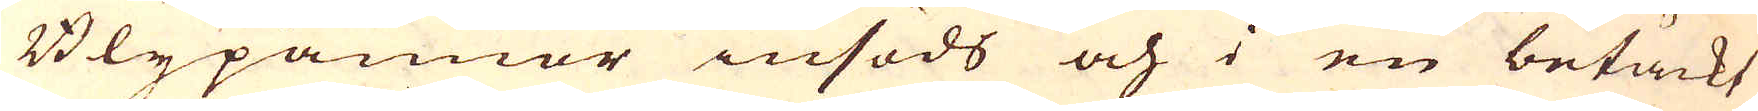Blypannor insöds och i en betäckt
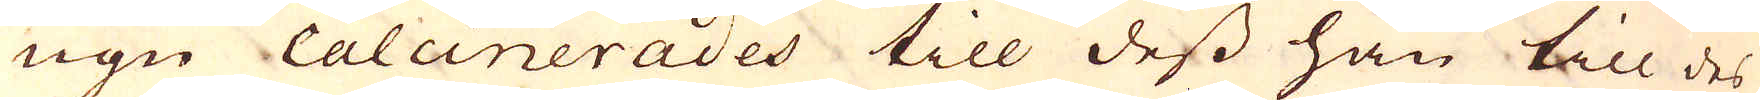ugn calcinerades till dess han till des
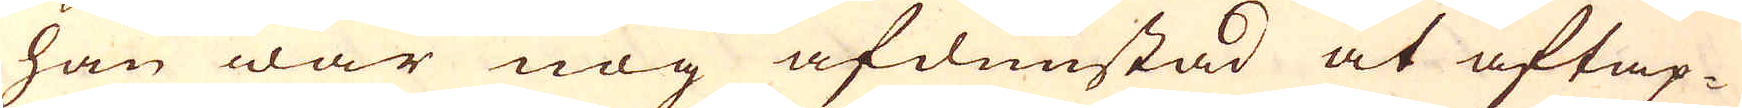han war nog afdunstad at aftap-
